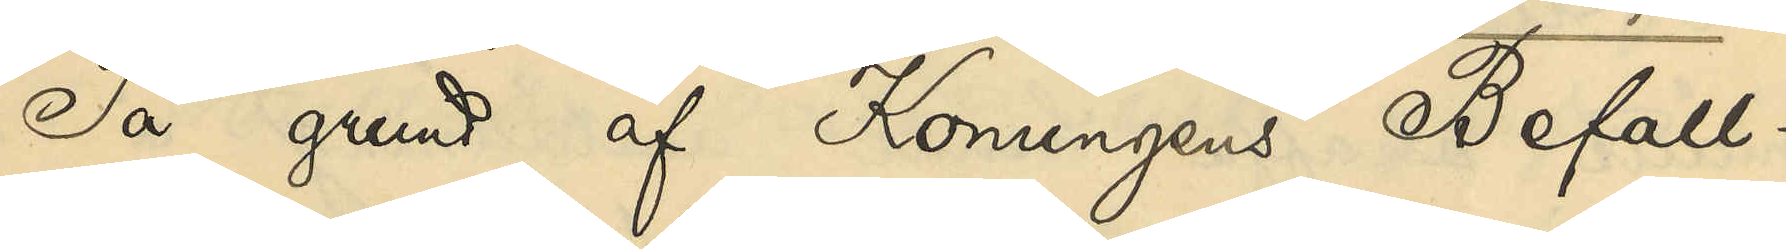På grund af Konungens Befall¬
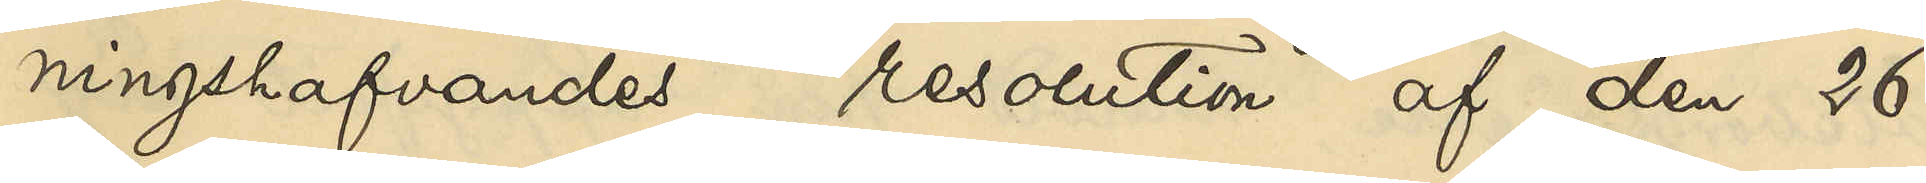ningshafvandes resolution af den 26
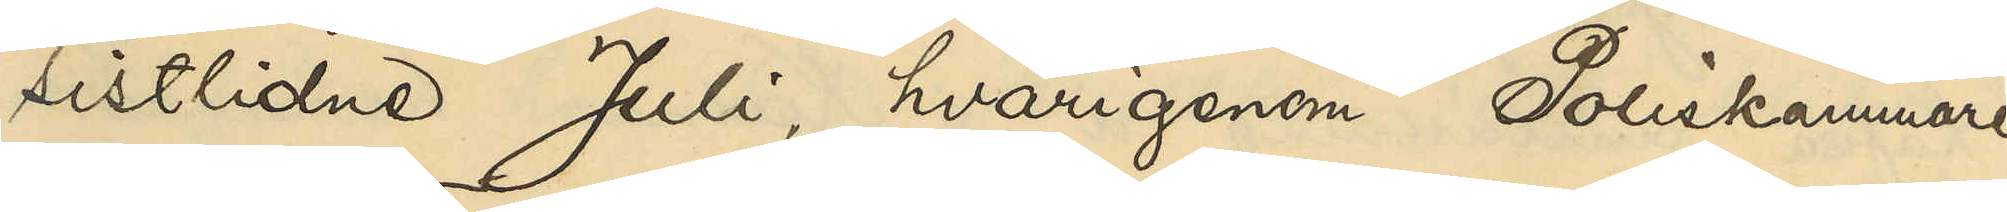sistlidne Juli, hvarigenom Poliskammaren
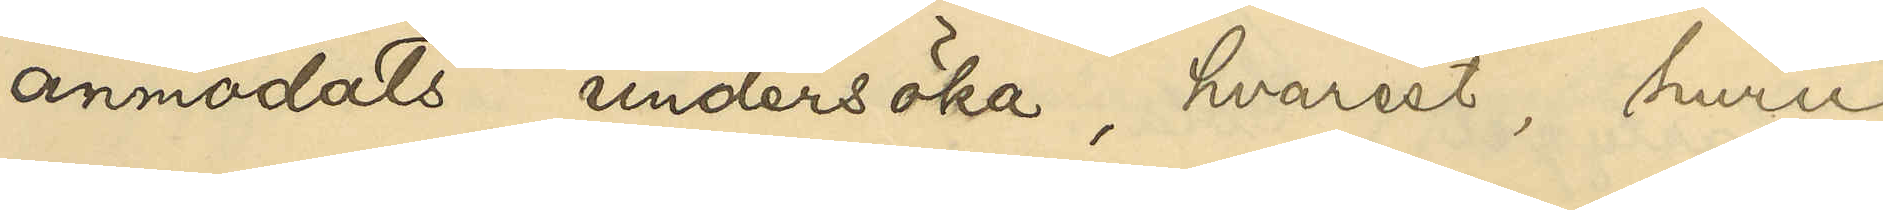anmodats undersöka, hvarest, huru
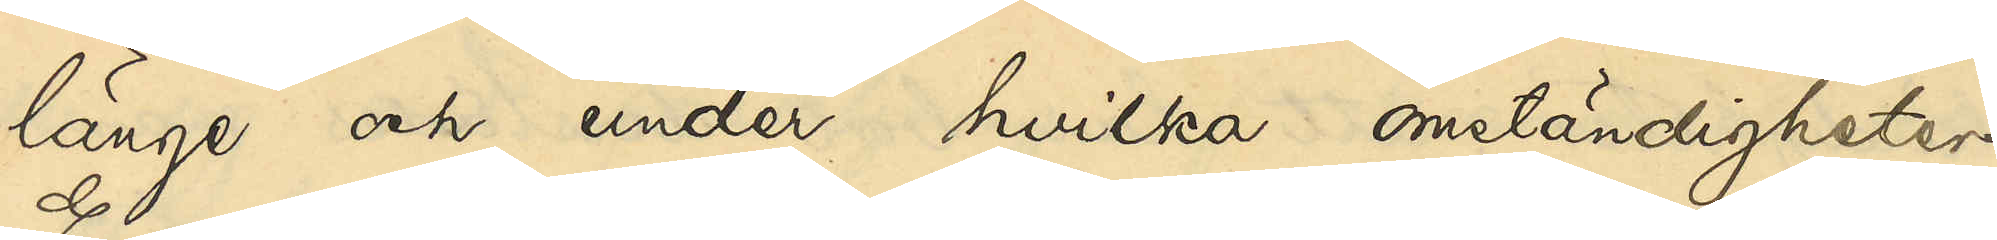länge och under hvilka omständigheter
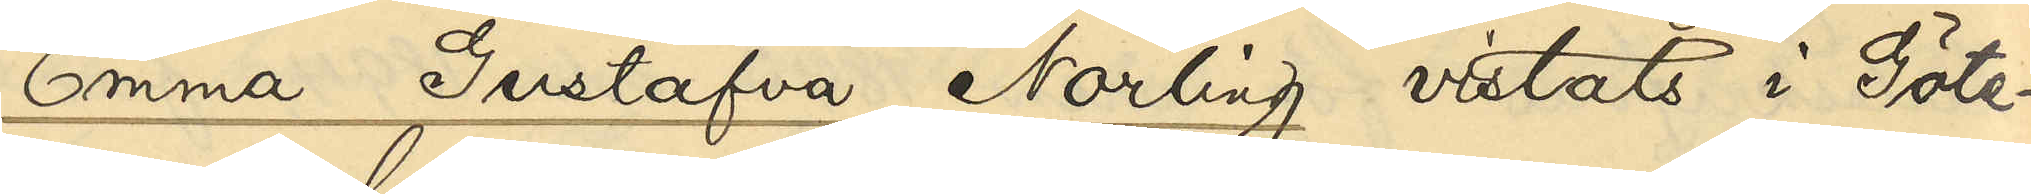Emma Gustafva Norling vistats i Göte¬
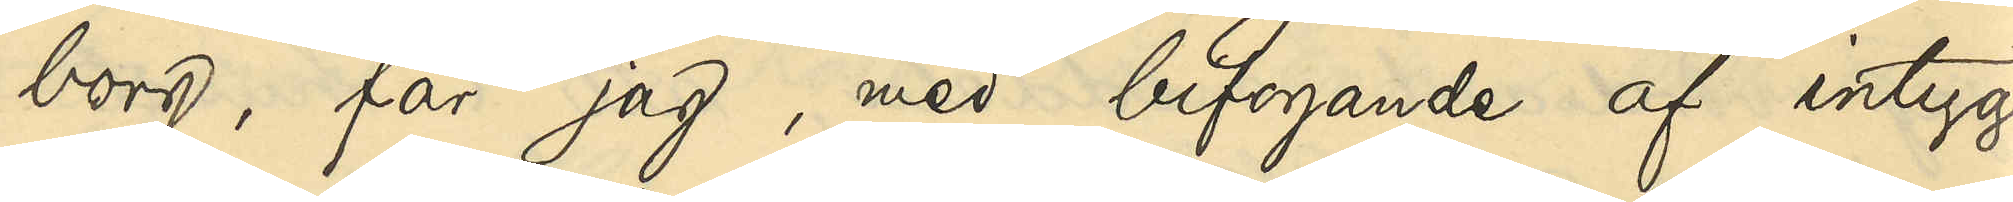borg, får jag, med bifogande af intyg
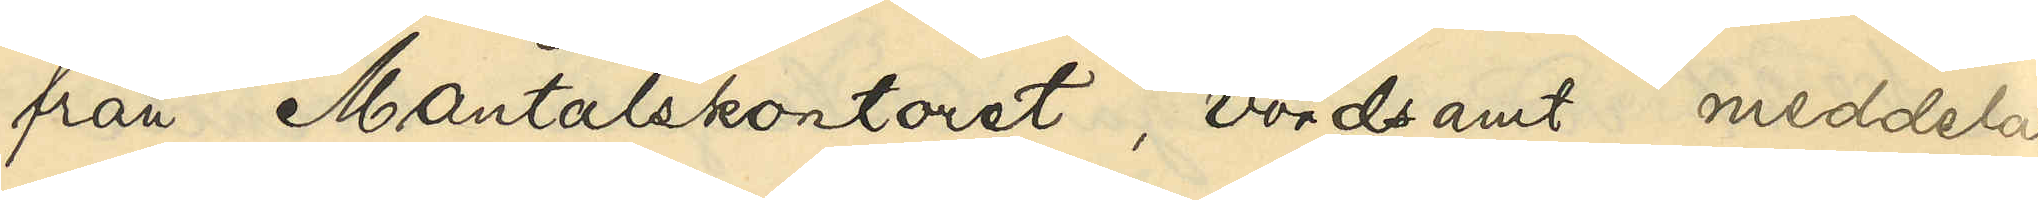från Mantalskontoret, vördsamt meddela
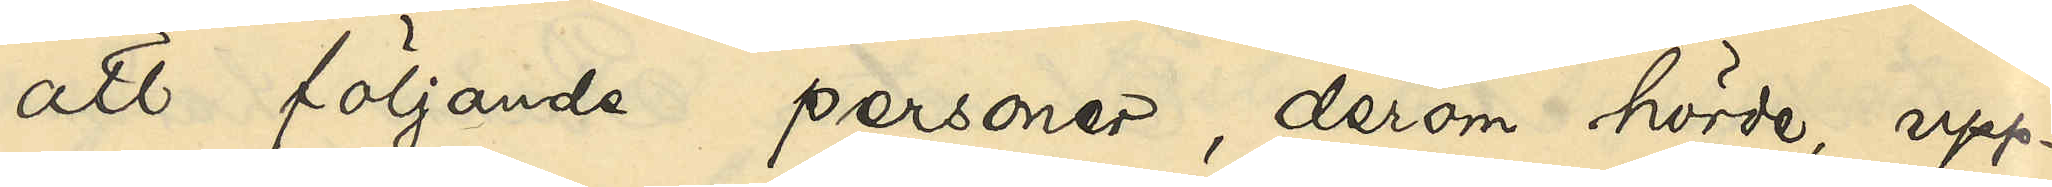att följande personer, derom hörda, upp¬
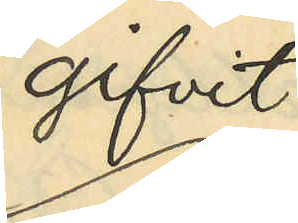gifvit:
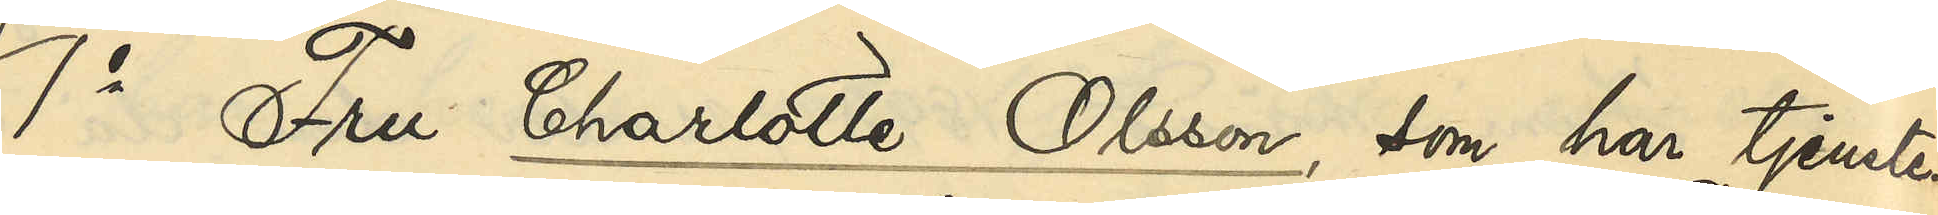1o Fru Charlotte Olsson, som har tjenste¬
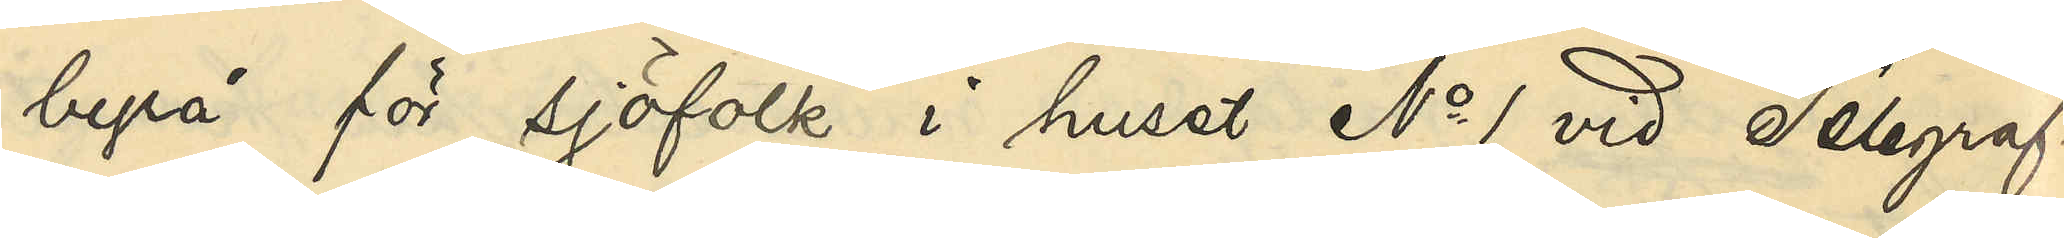byrå för sjöfolk i huset No 1 vid Telegraf¬
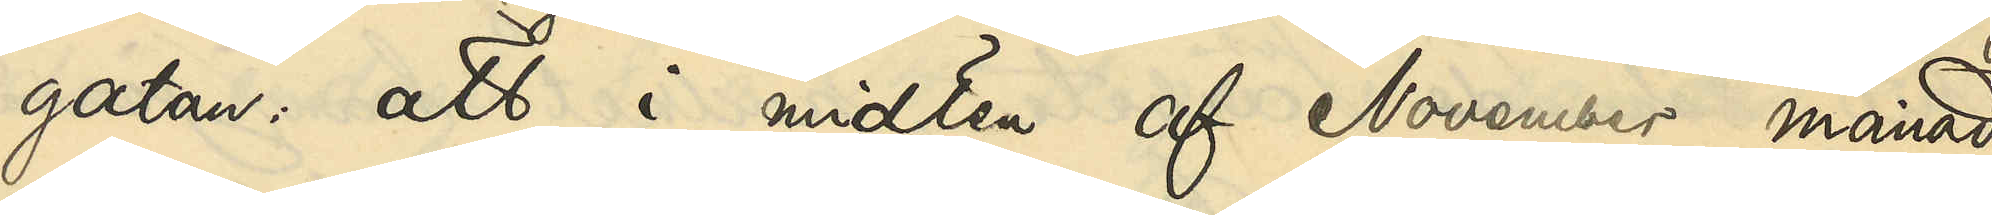gatan, att i midten af November månad
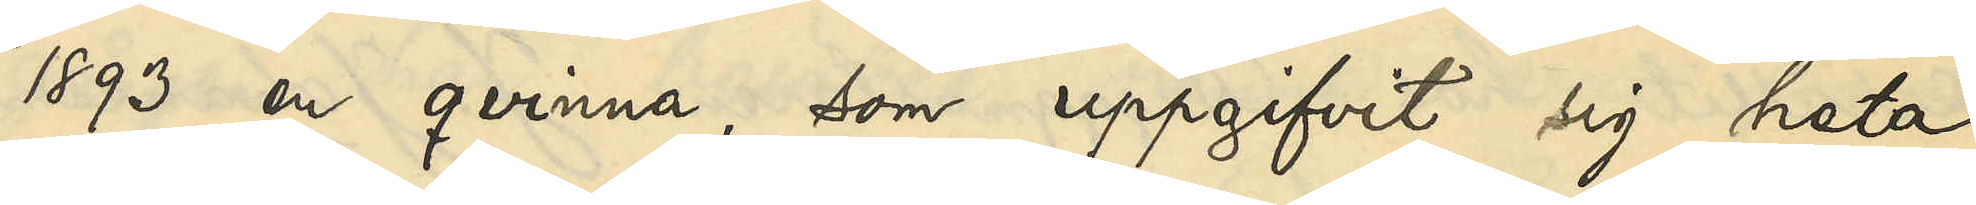1893 en qvinna, som uppgifvit sig heta
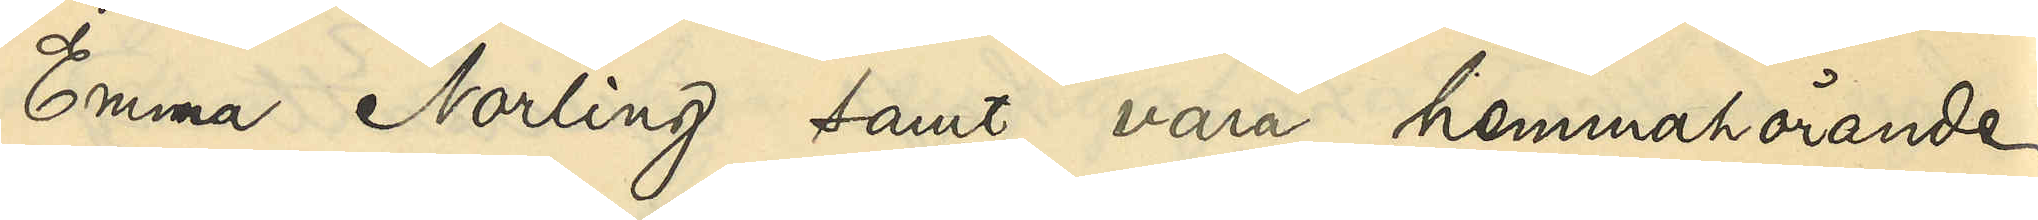Emma Norling samt vara hemmahörande
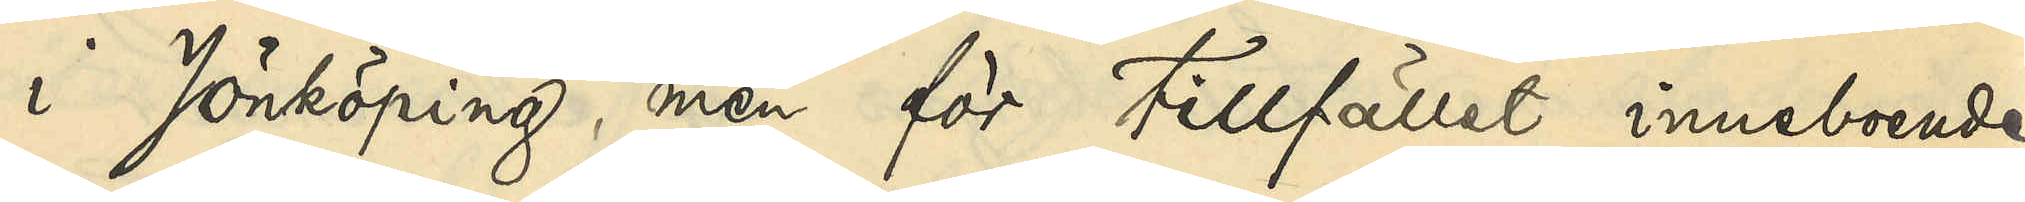i Jönköping, men för tillfället inneboende
